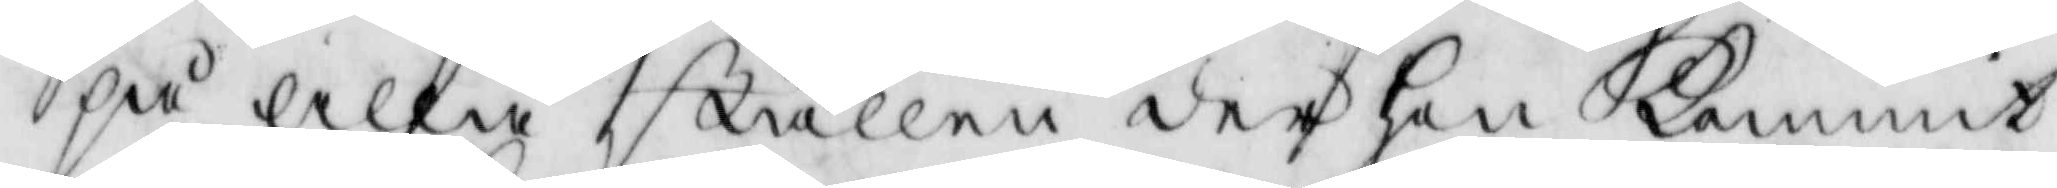på alla ställen der hon Kommit
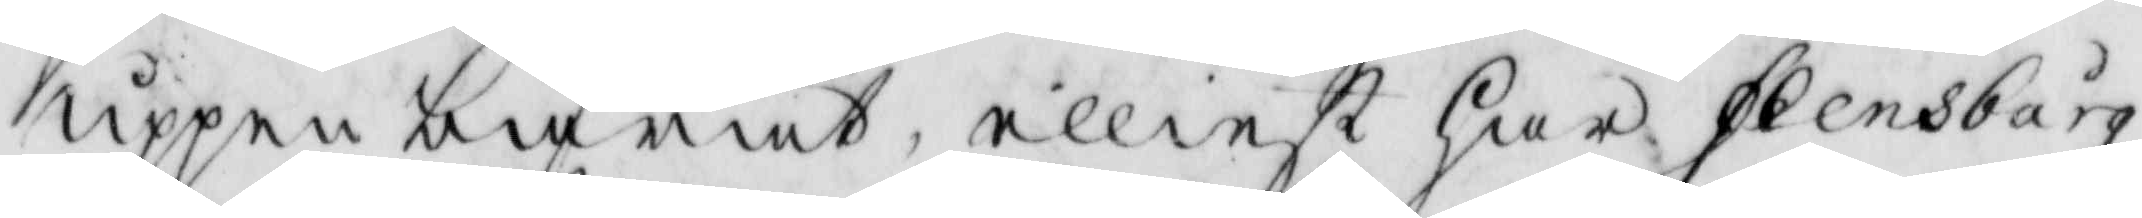uppenbarat, elliest har Flensbårg
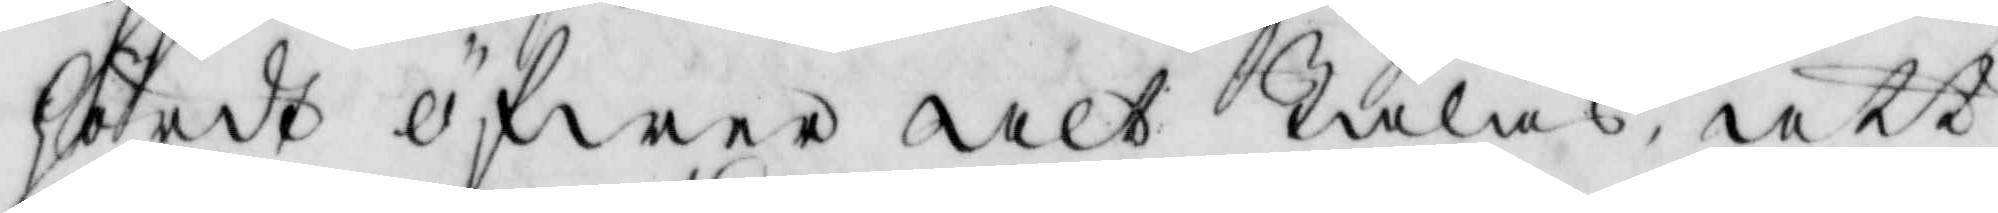hördt öfwer alt Talas, att
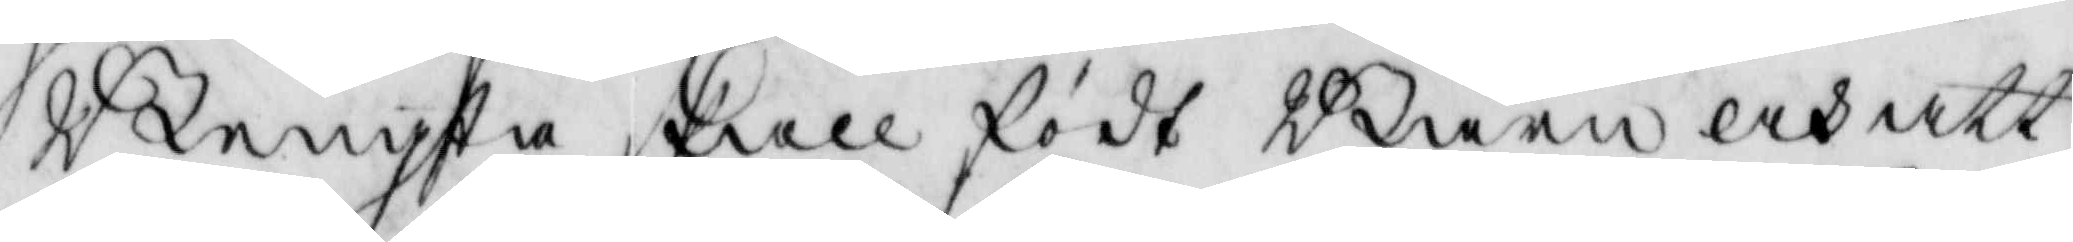Bengta skall födt Barn och att
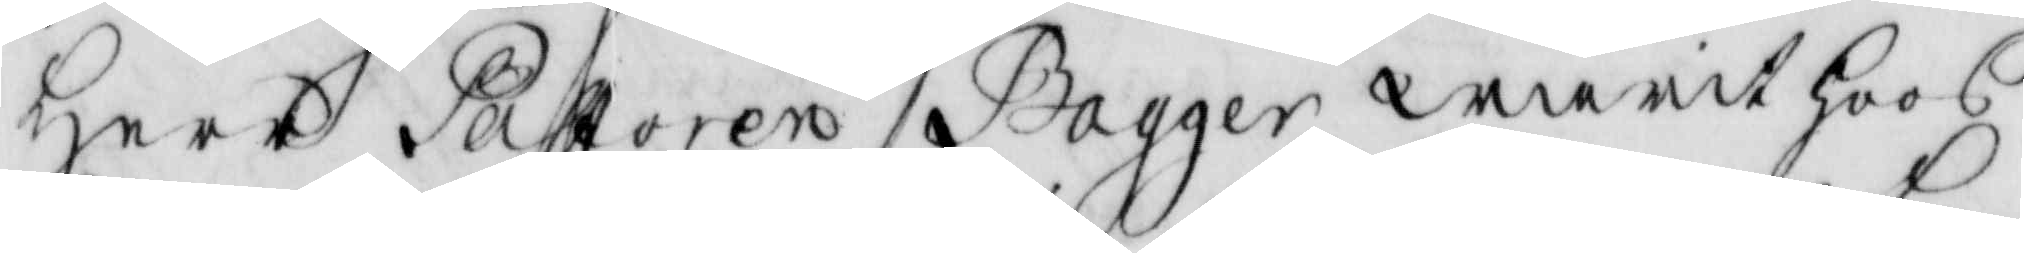Herr Pastoren Bagger warit hoos
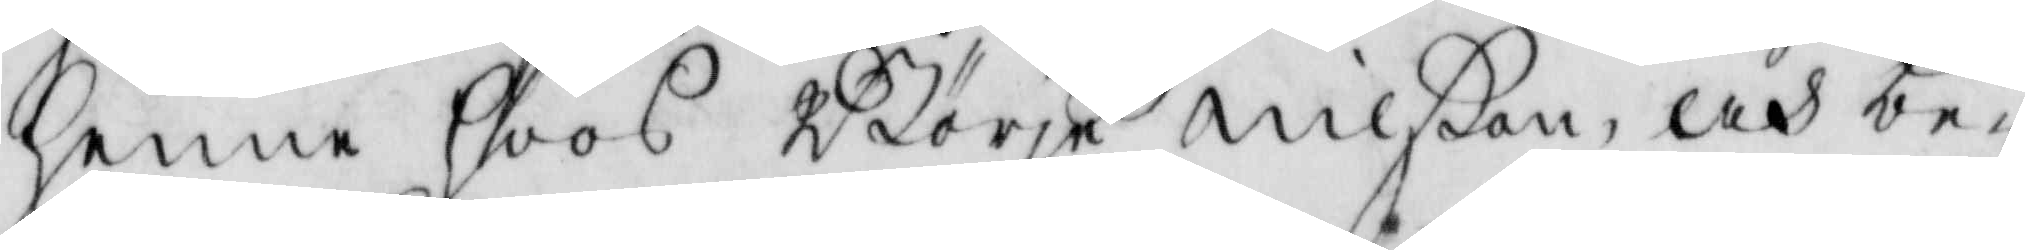henne Hoos Börje nilßon, ooh be¬
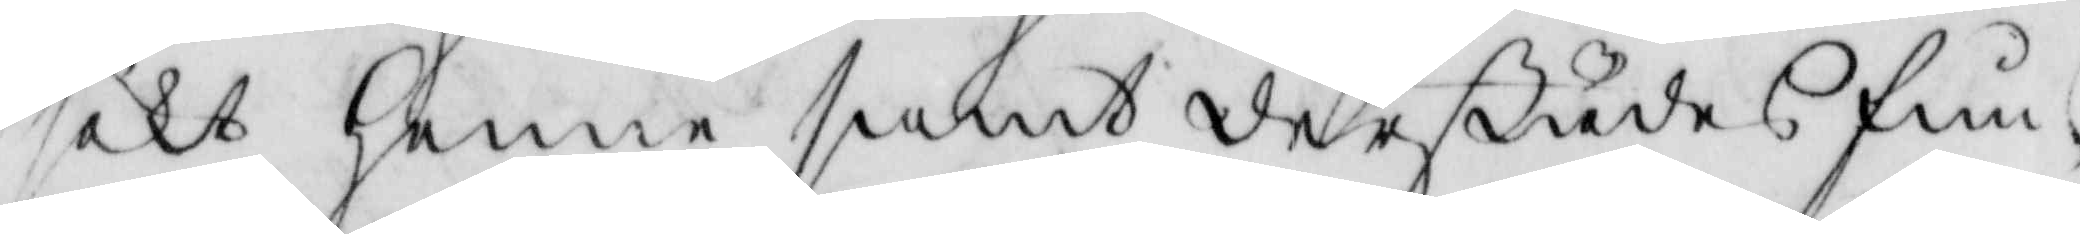sökt henne samt derstädes fun¬
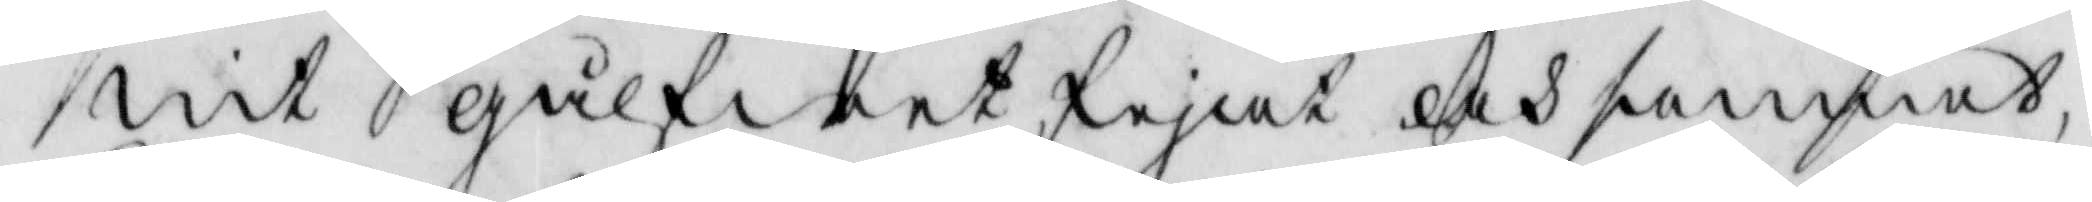nit gålfwet fejat och sammat,
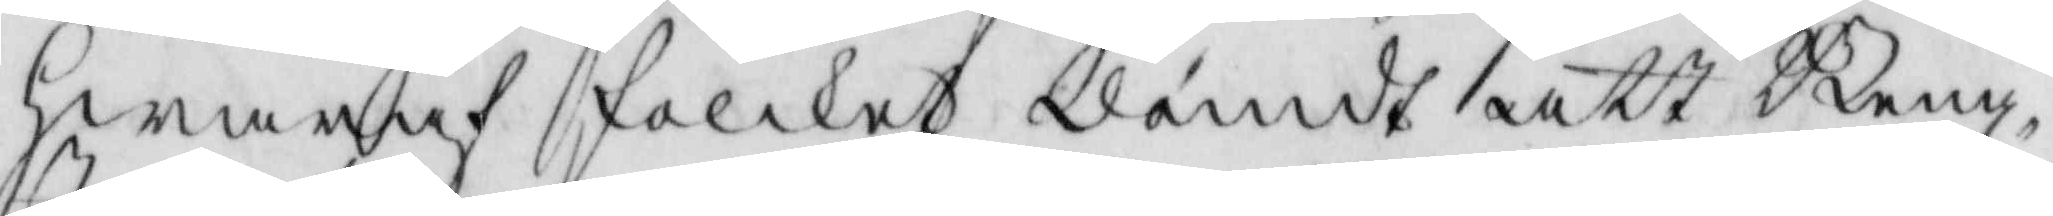hwaraf folket dömdt att Beng¬
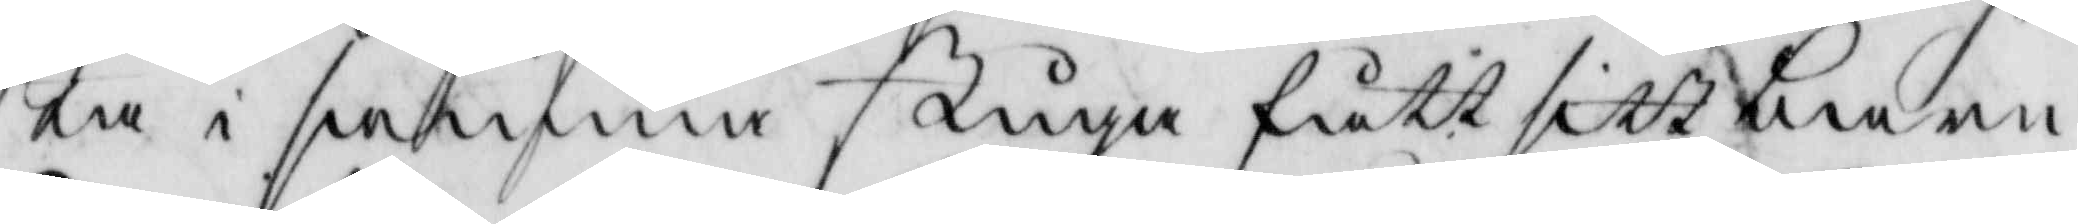ta i samma stuga fått sitt barn
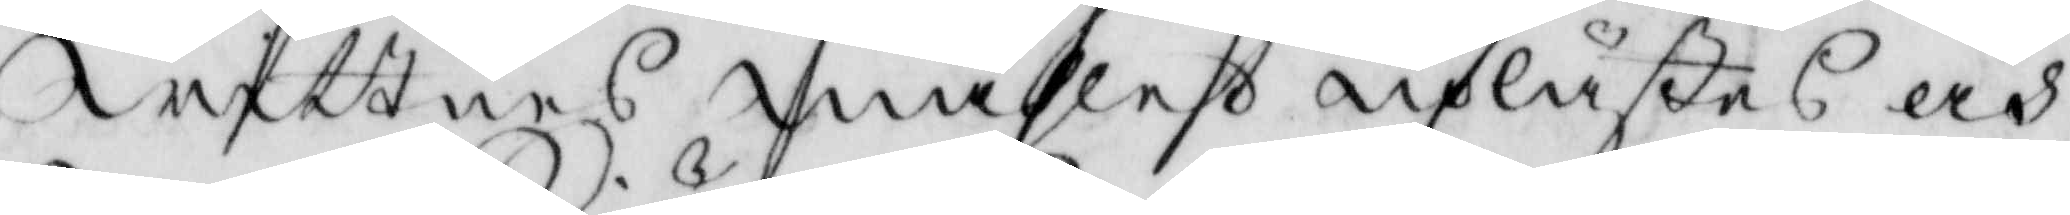Wittnes måhlet uplästes och
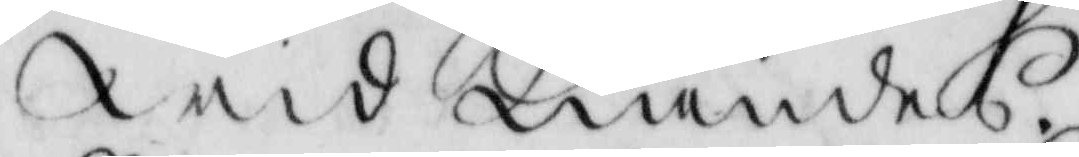widkiändes.
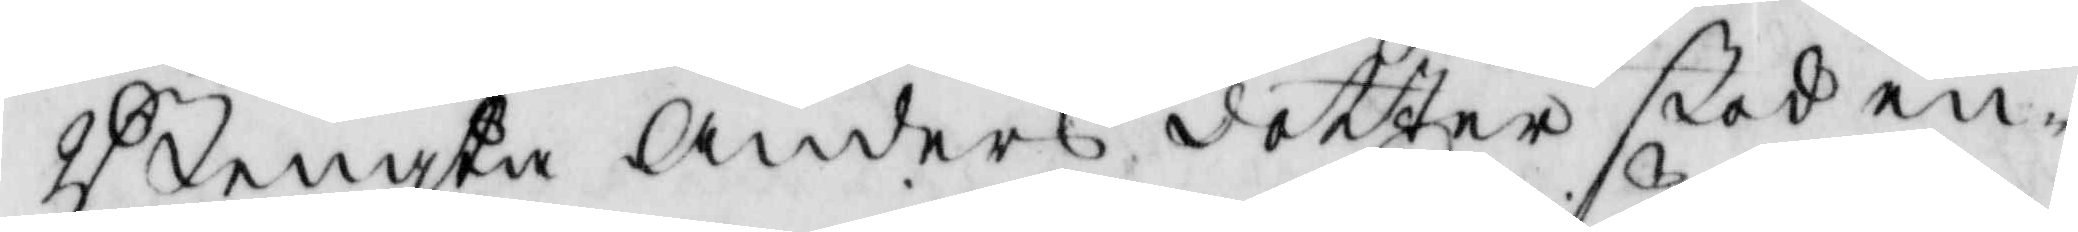Bengta Anders dotter stod en¬
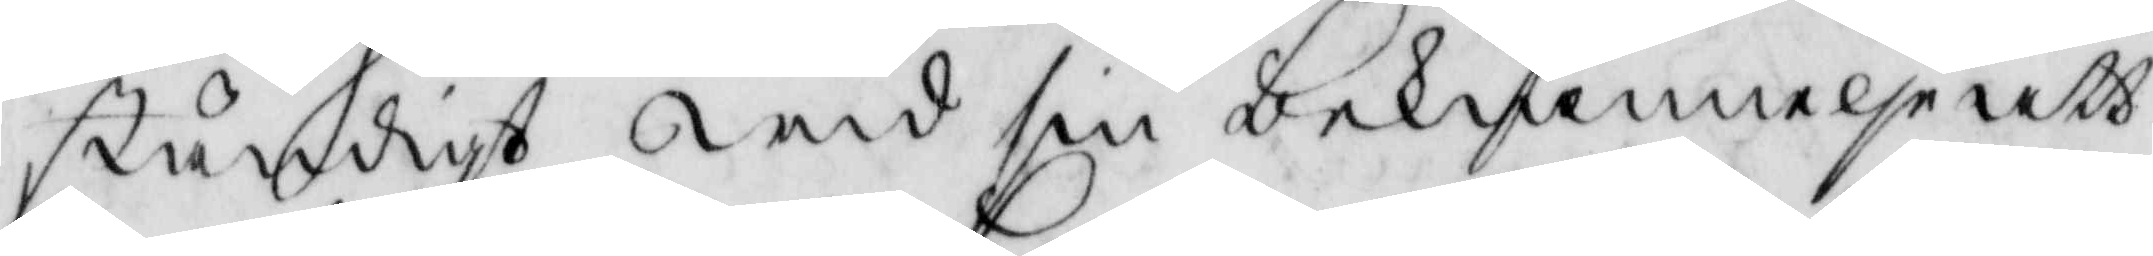ständigt wid sin bekiännelse att
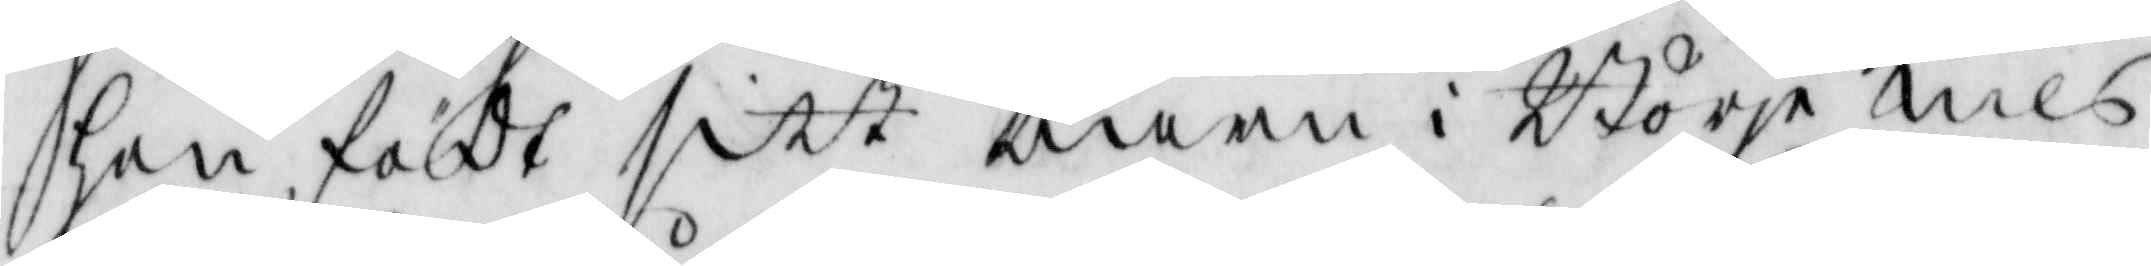hon födt sitt barn i Börje nils¬
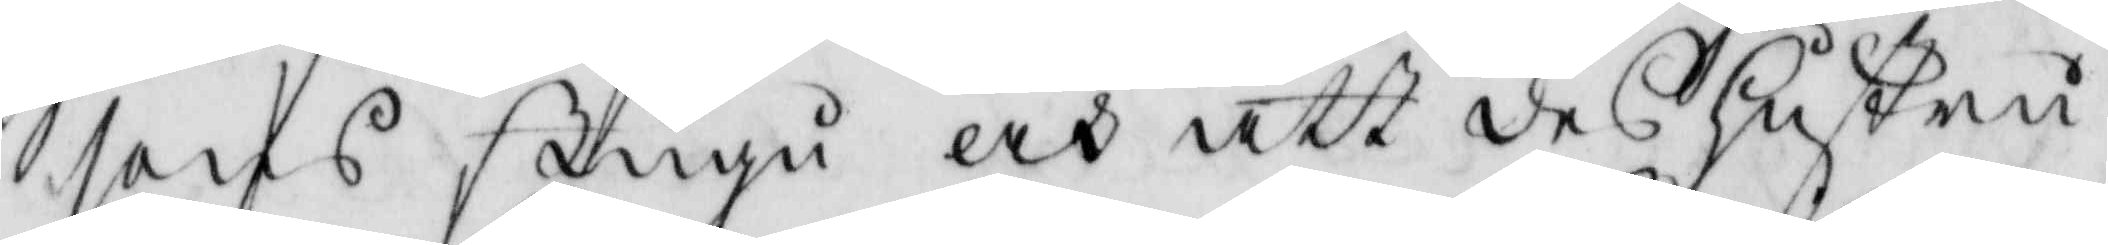sons stugu och att deß Hustru
